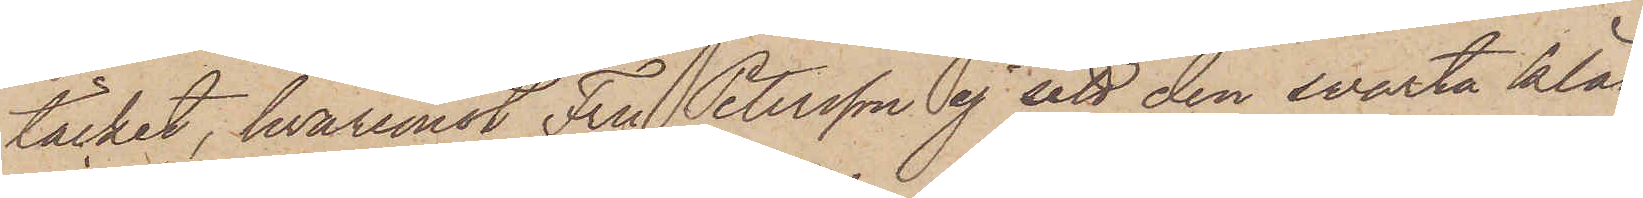täcket, hvaremot Fru Petersson ej sett den svarta kläd¬
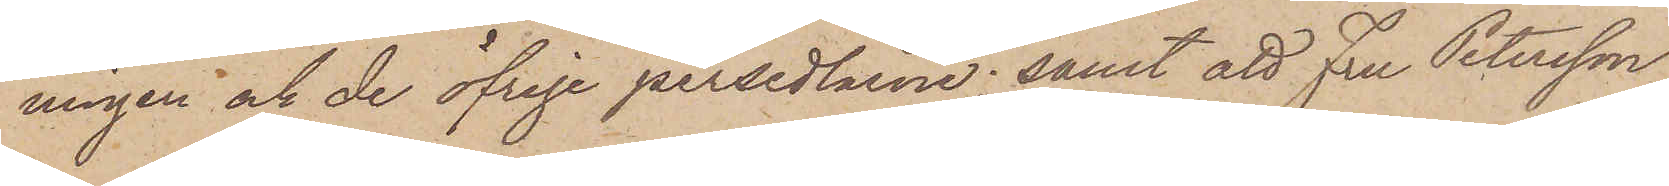ningen och de öfrige persedlarne; samt att Fru Petersson
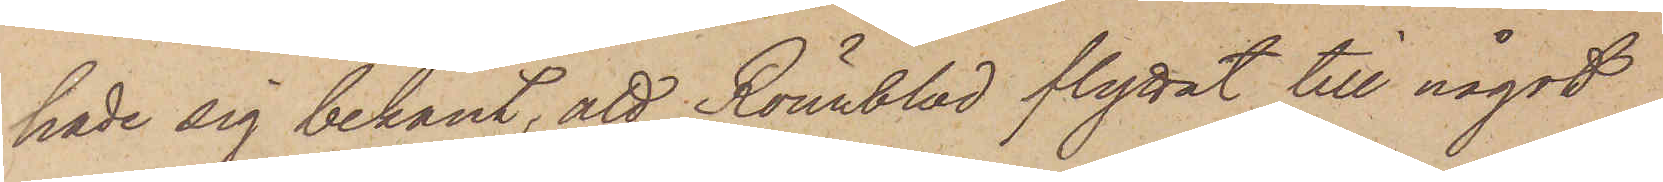hade sig bekant, att Rönnblad flyttat till något
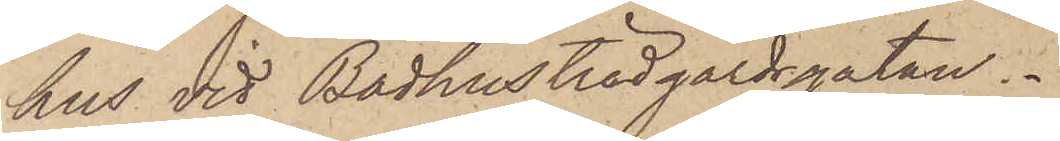hus vid Badhusträdgårdsgatan.
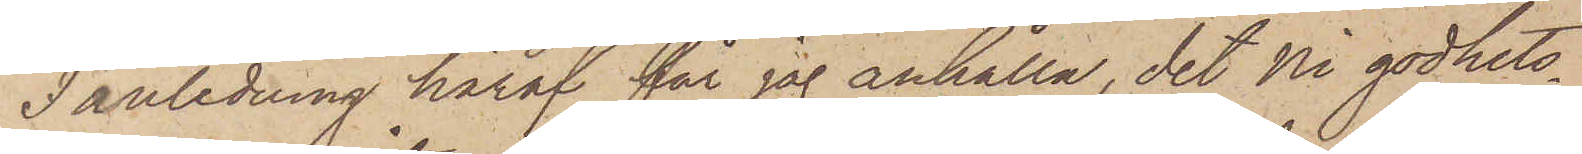I anledning häraf får jag anhålla, det Ni godhets¬
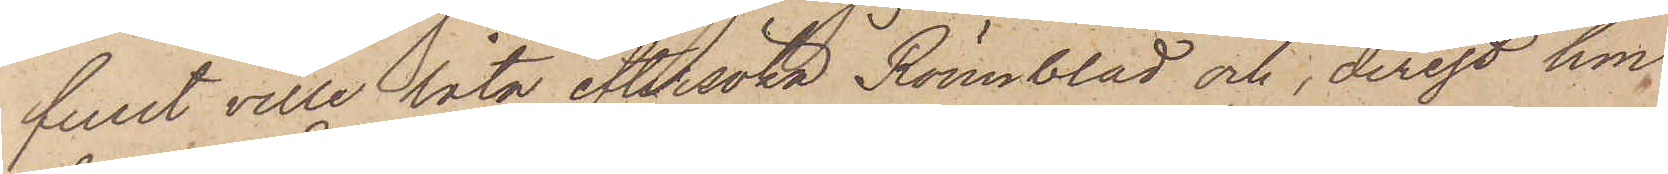fullt ville låta eftersöka Rönnblad och, derest hon
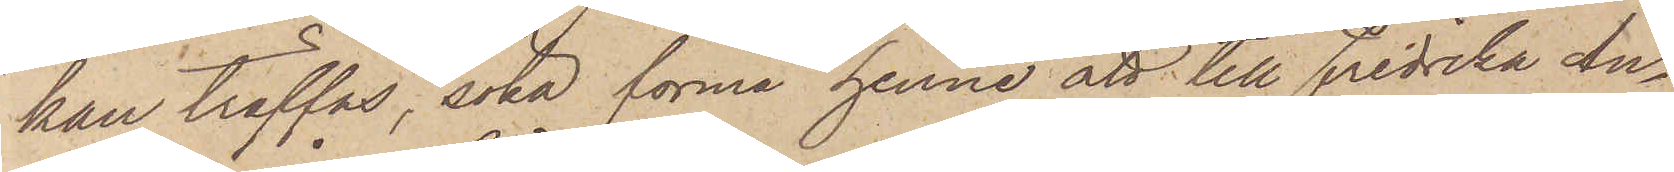kan träffas, söka förmå henne att till Fredrika An¬
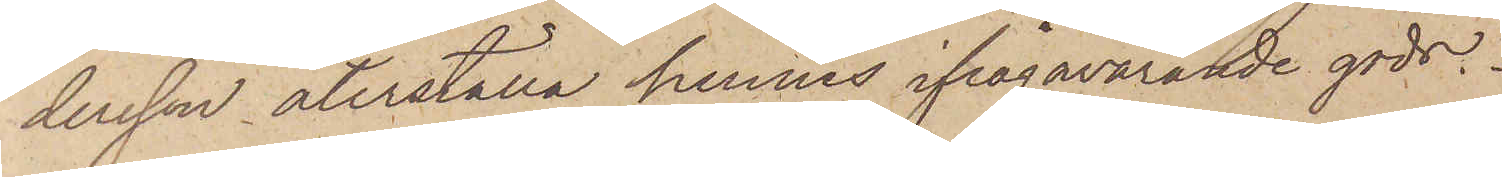dersson återställa hennes ifrågavarande gods.
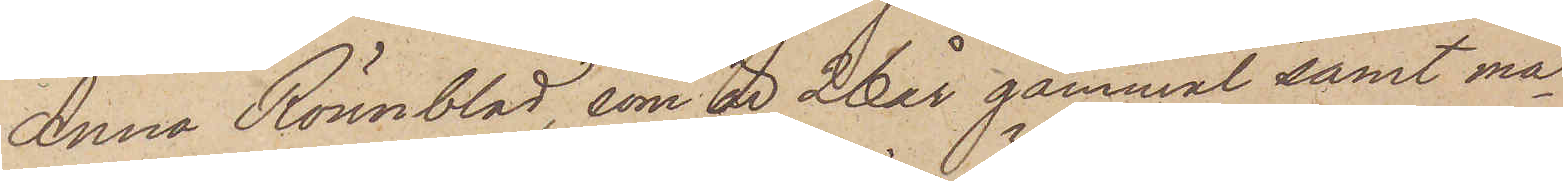Anna Rönnblad, som är 26 år gammal samt ma¬
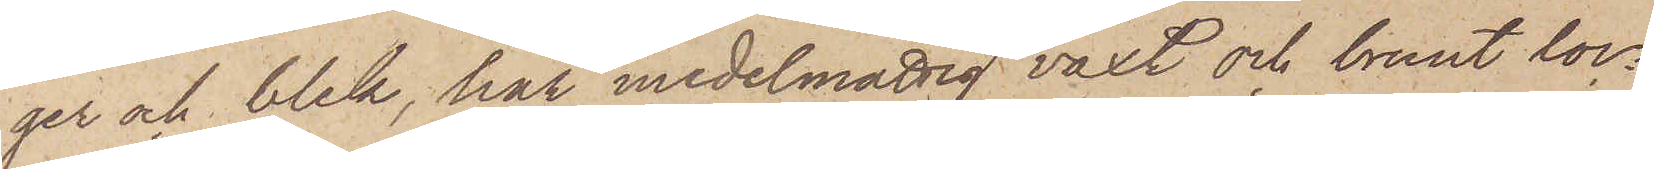ger och blek, har medelmåttig växt och brunt loc¬
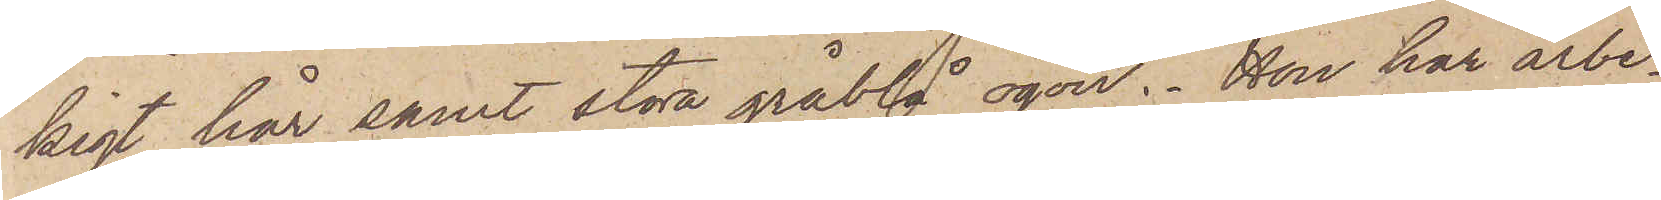kigt hår samt stora gråblå ögon. Hon har arbe¬
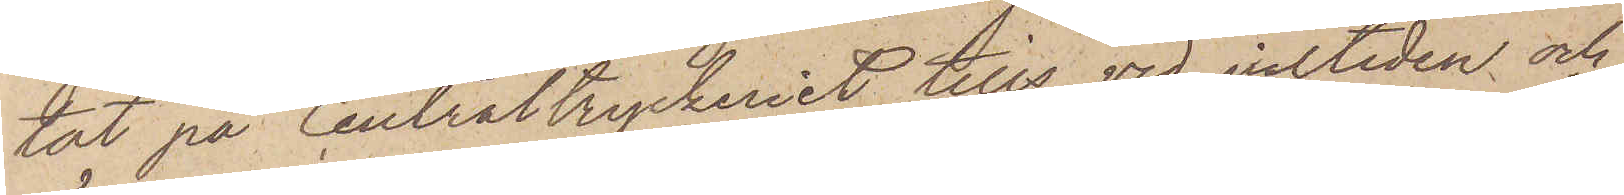tat på Centraltryckeriet tills vid jultiden och
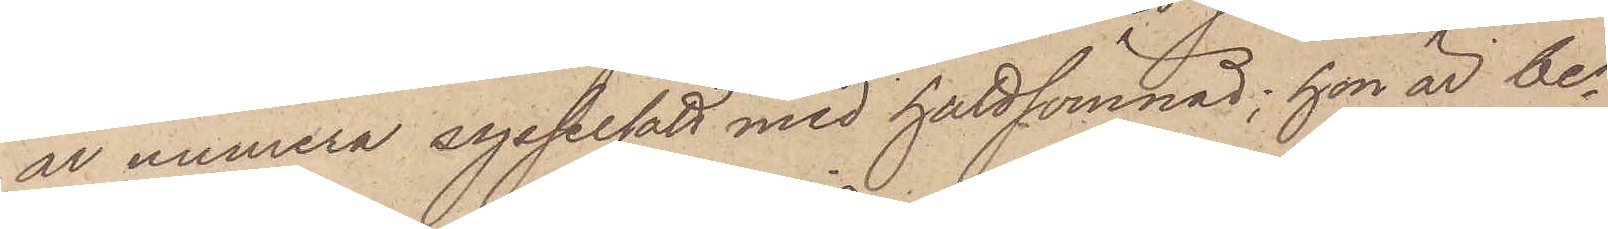är numera sysselsatt med guldsömnad; hon är be¬
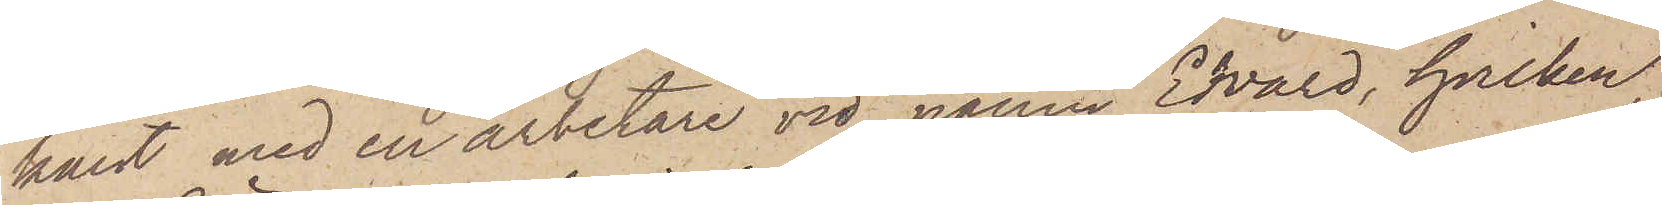kant med en arbetare vid namn Edvard, hvilken,
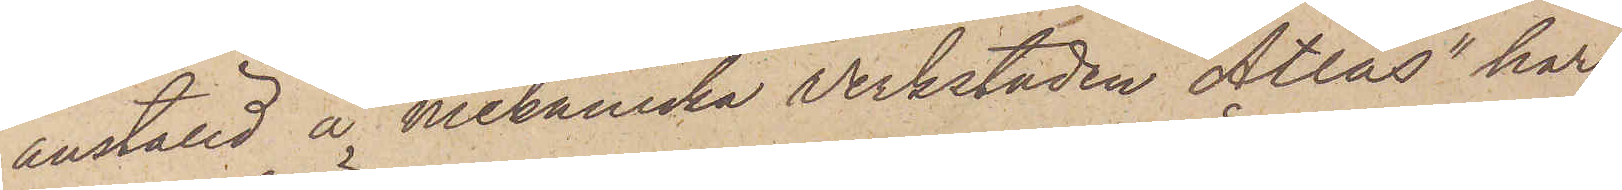anställd å Mekaniska Verkstaden "Atlas" har
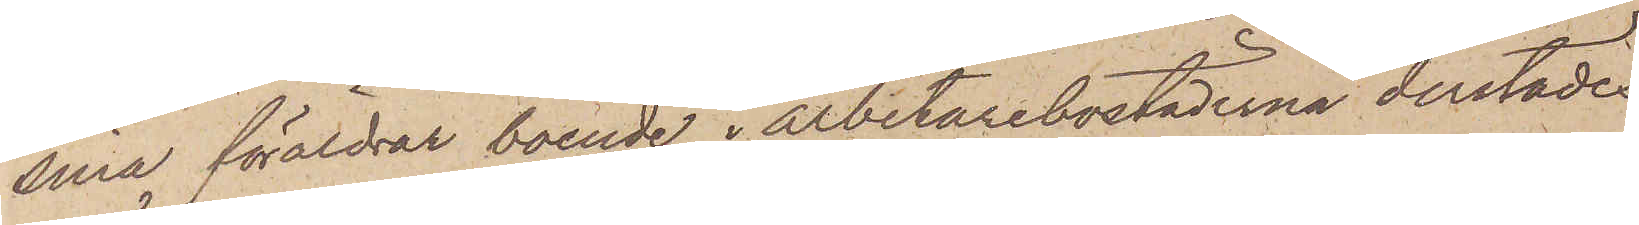sina föräldrar boende i arbetarebostäderna derstädes,
